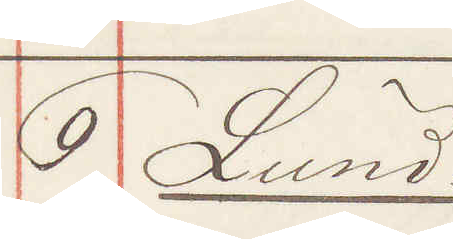9 Lund.
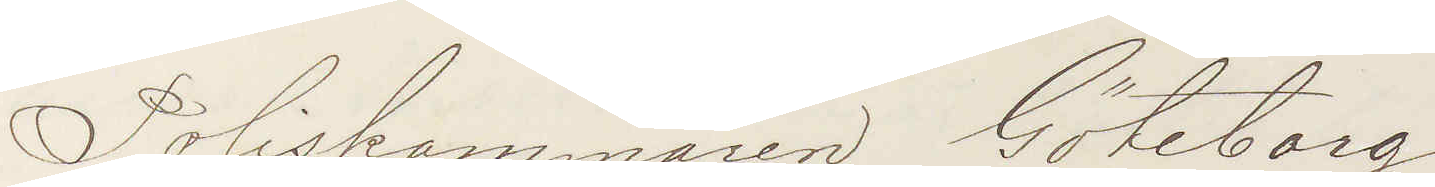Poliskammaren Göteborg
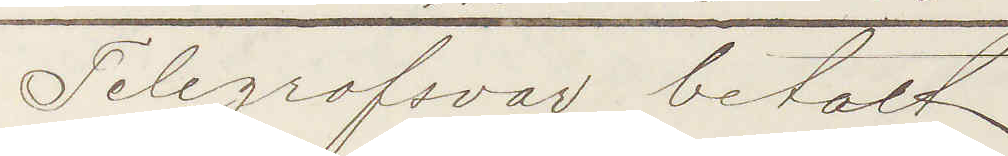Telegrafsvar betalt
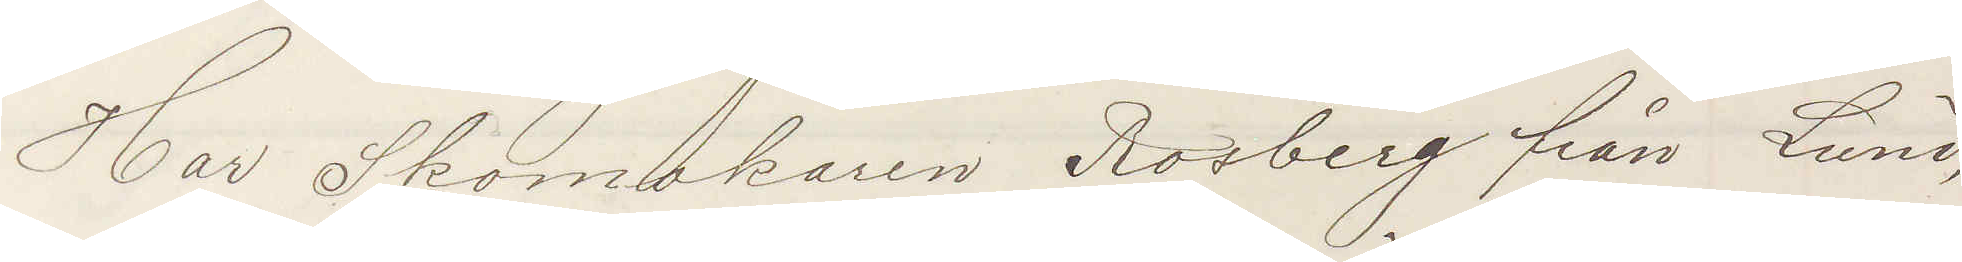Har Skomakaren Rosberg från Lund,
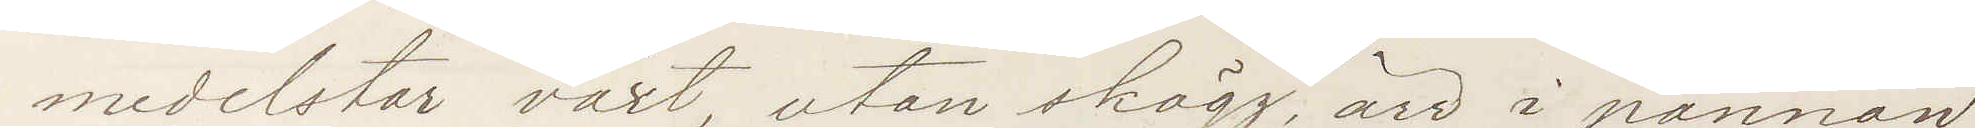medelstor växt utan skägg ärr i pannan,
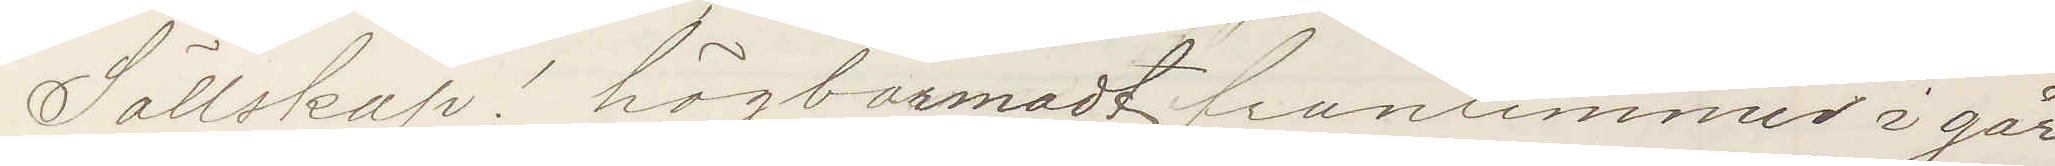Sällskap! högbarmadt fruntimmer i går
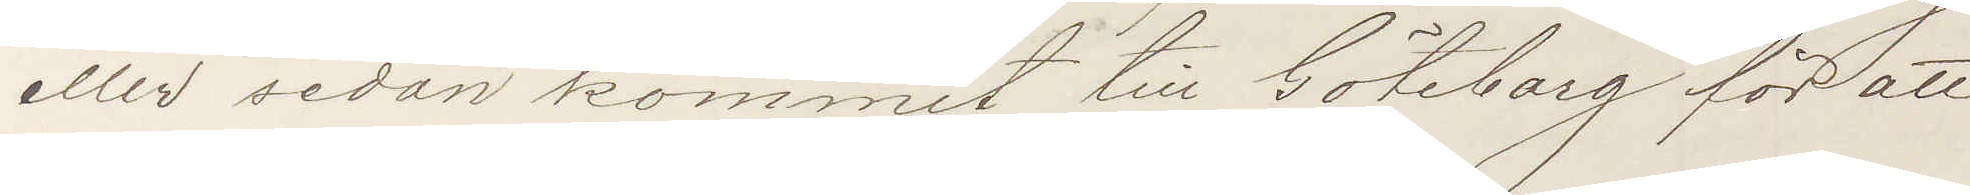eller sedan kommit till Göteborg för att
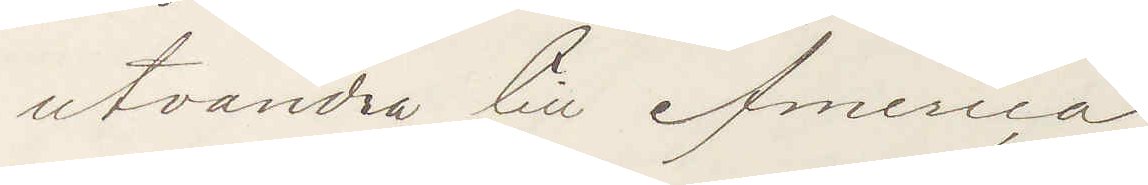utvandra till America.
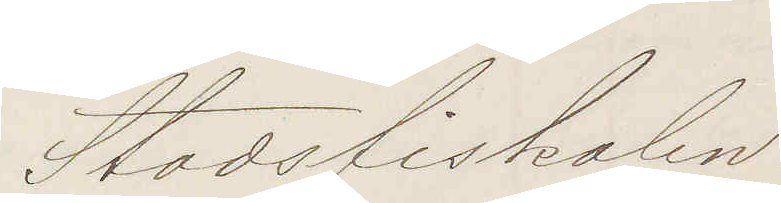Stadsfiskalen
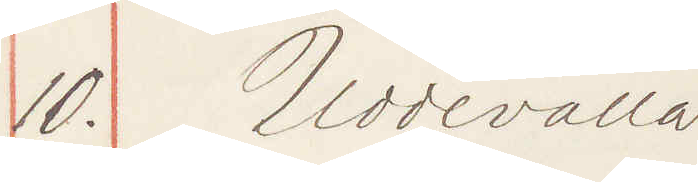10. Uddevalla
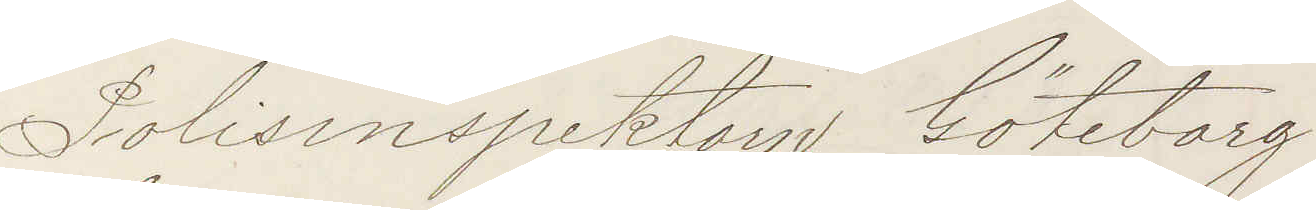Polisinspektorn Göteborg
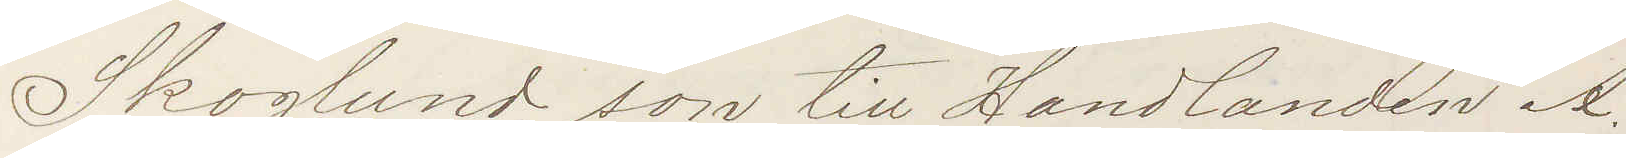Skoglund, son till Handlanden A
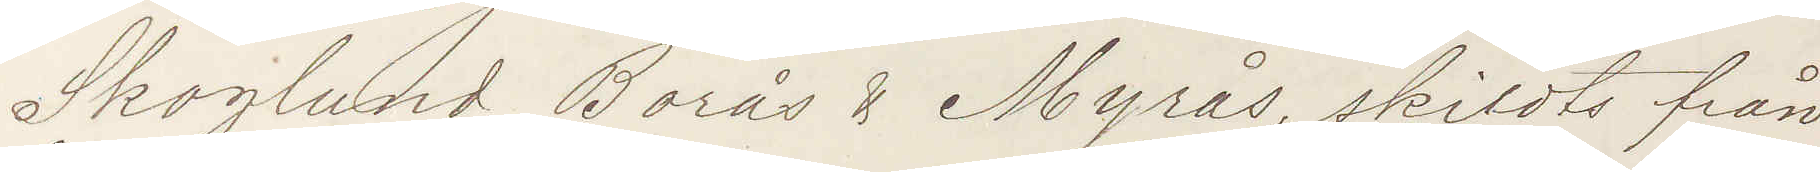Skoglund, Borås & Myrås, skildts från
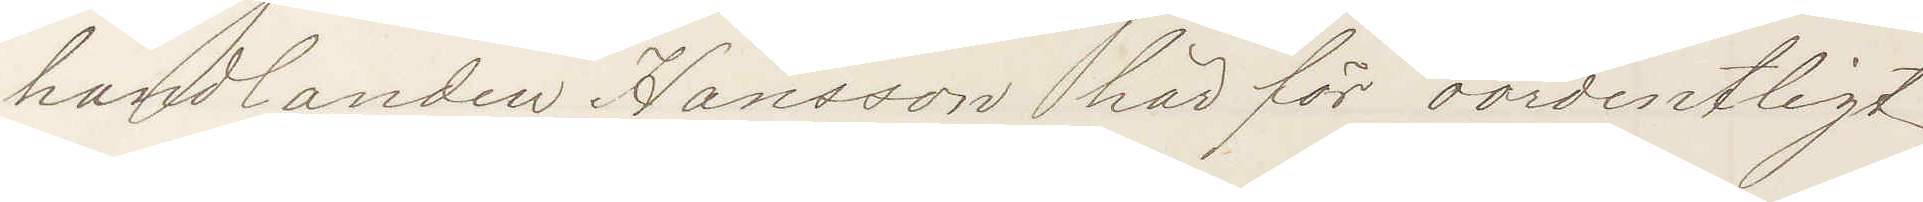handlanden Hansson här för oordentligt
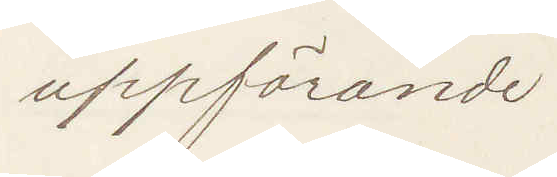uppförande.
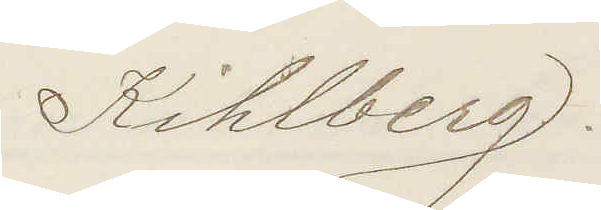Kihlberg.
